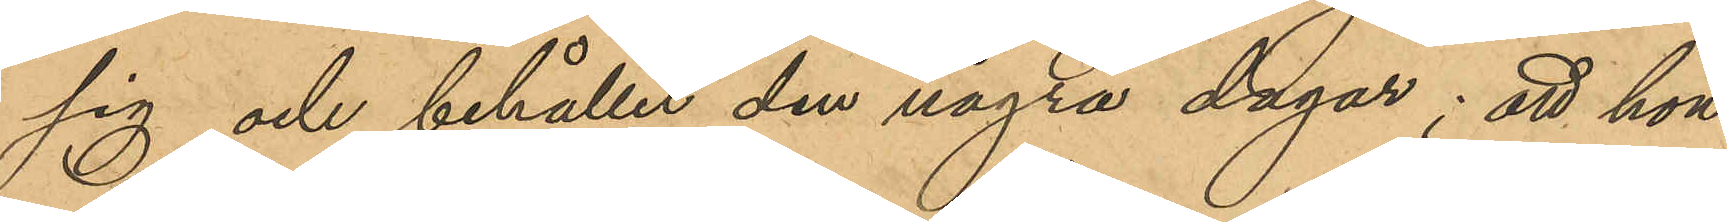sig och behållit den några dagar; att hon
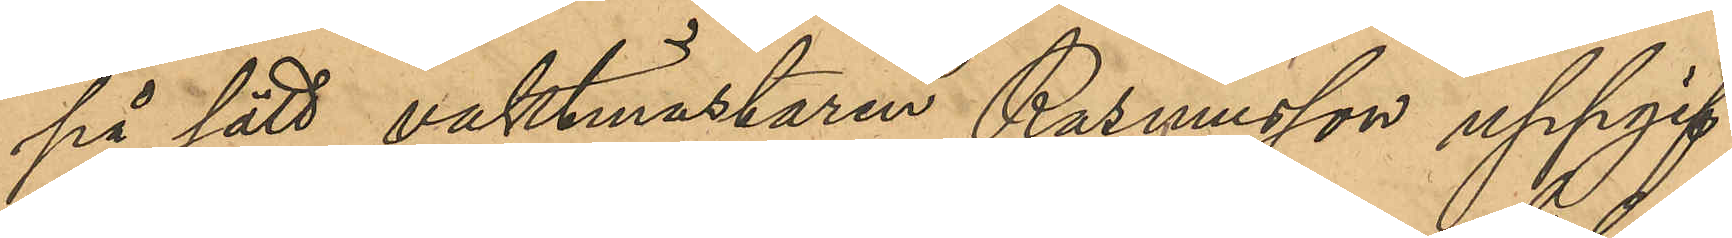på sätt vaktmästaren Rasmusson uppgif¬
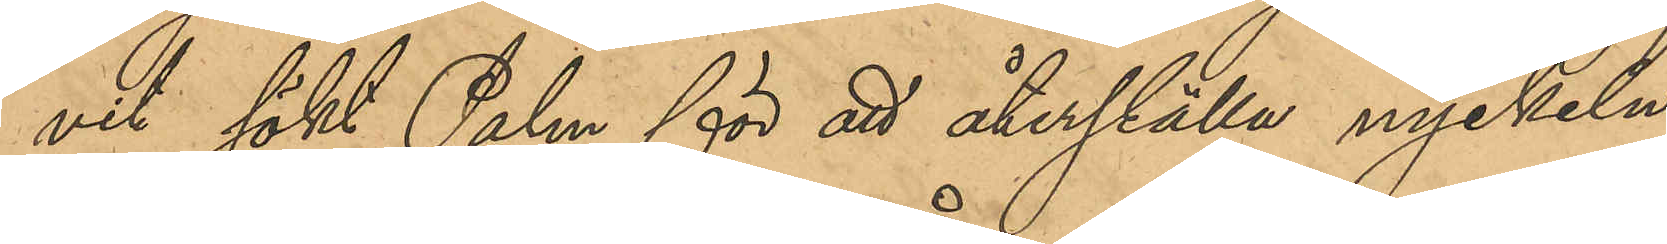vit sökt Palm för att återställa nyckeln
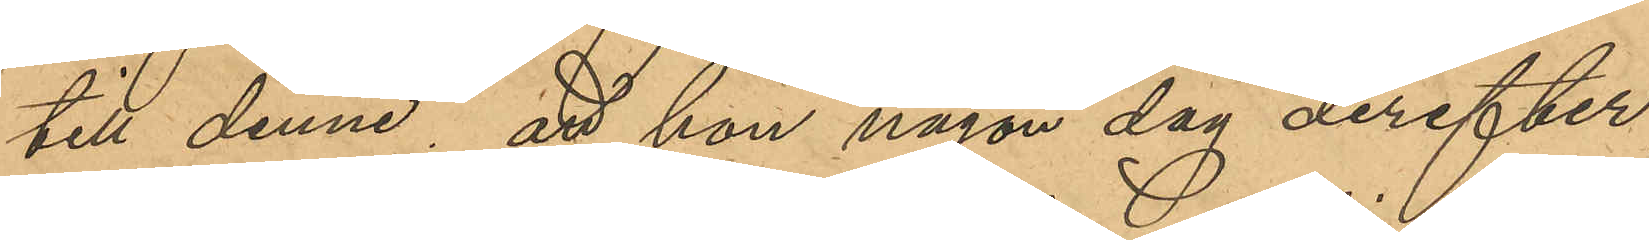till denne; att hon någon dag derefter,
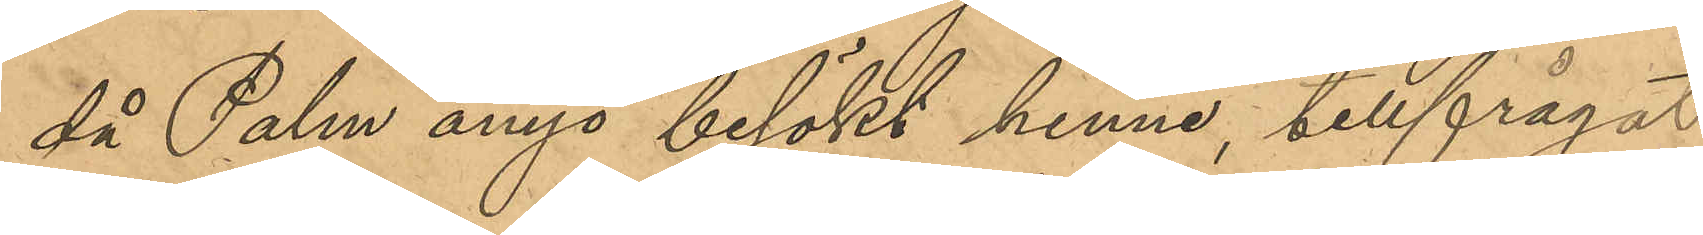då Palm ånyo besökt henne, tillfrågat
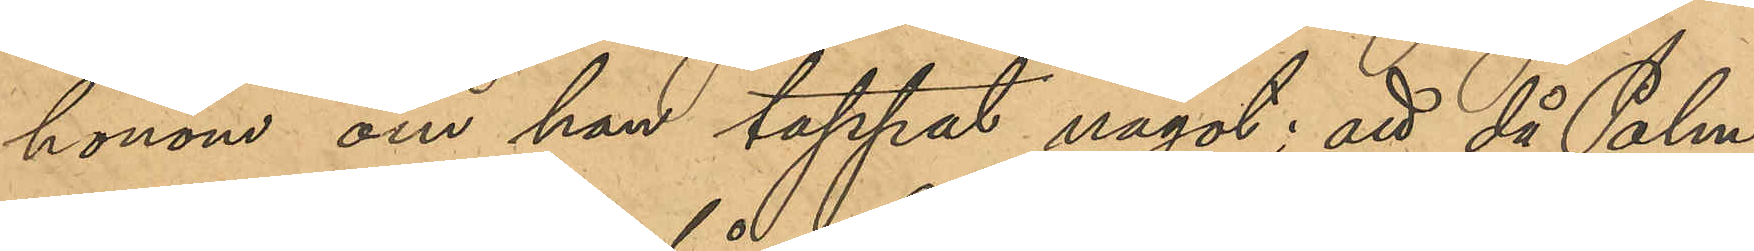honom om han tappat något; att då Palm
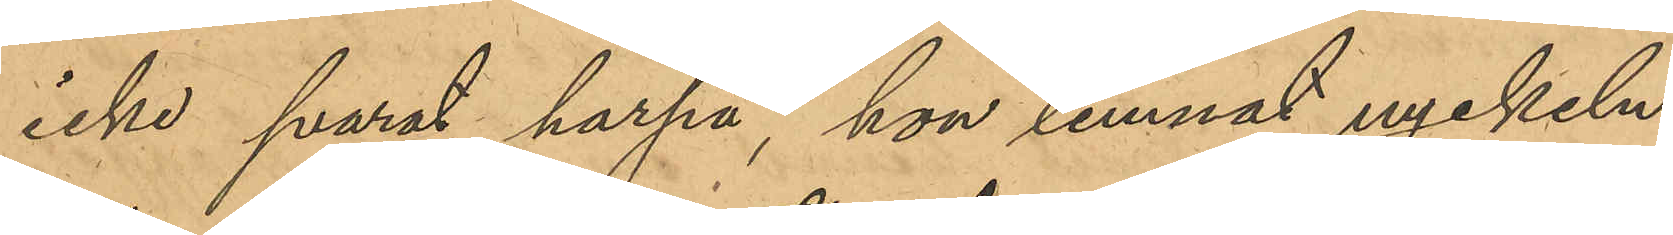icke svarat harpå, hon lemnat nyckeln
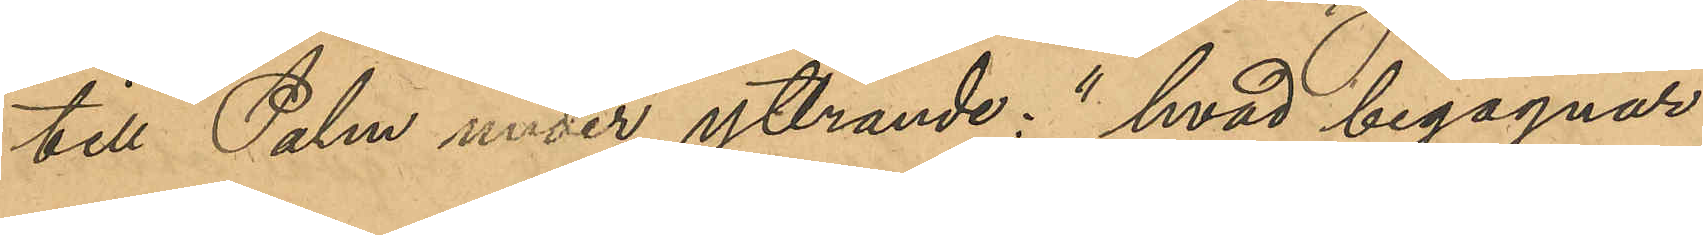till Palm under yttrande: "hvad begagnar
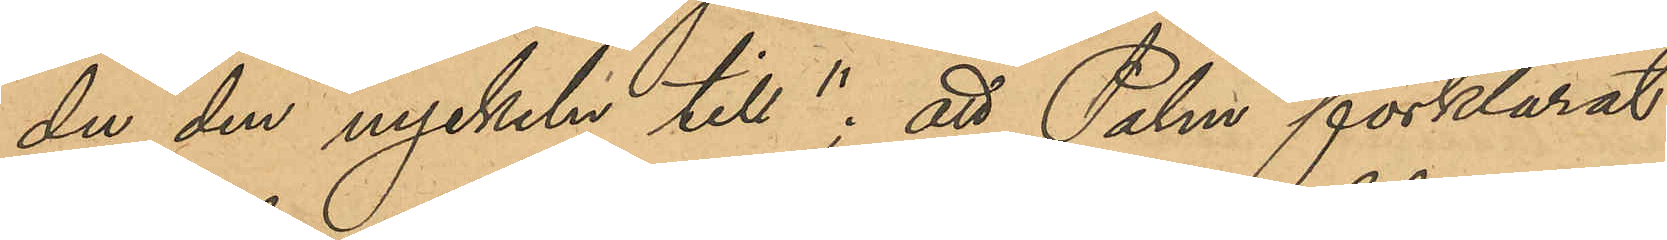du den nyckeln till"; att Palm förklarat
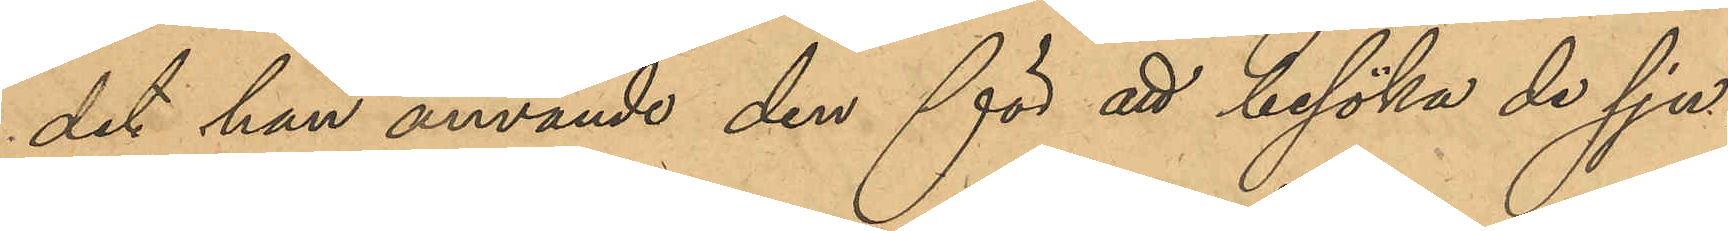det han använde den för att besöka de sju¬
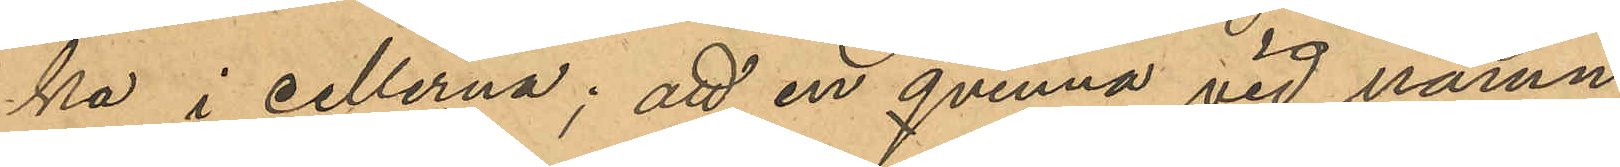ka i cellerna; att en qvinna vid namn
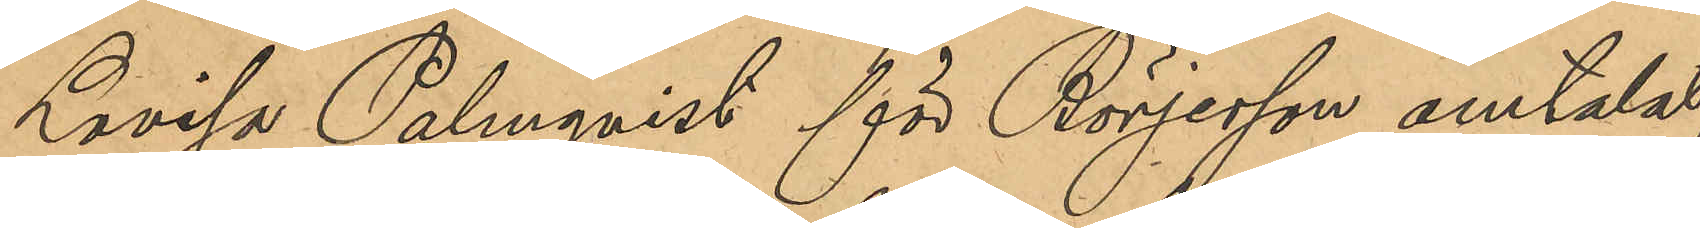Lovisa Palmqvist för Börjesson omtalat,
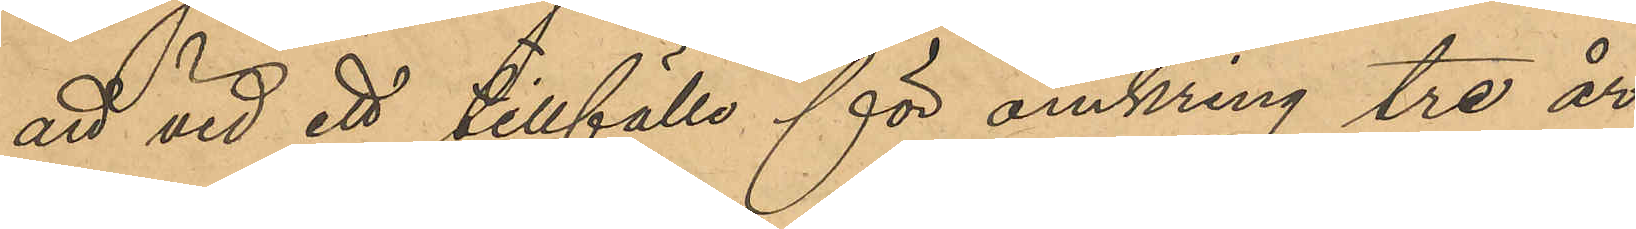att vid ett tillfälle för omkring tre år
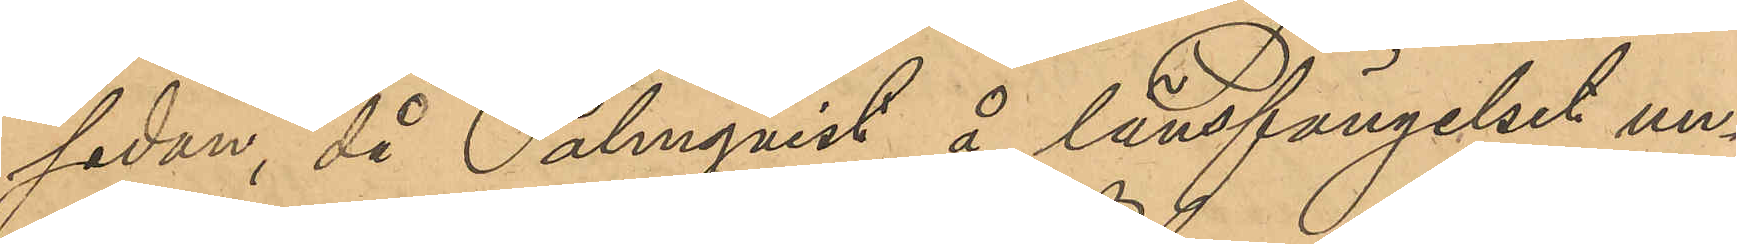sedan, då Palmqvist å länsfängelset un¬
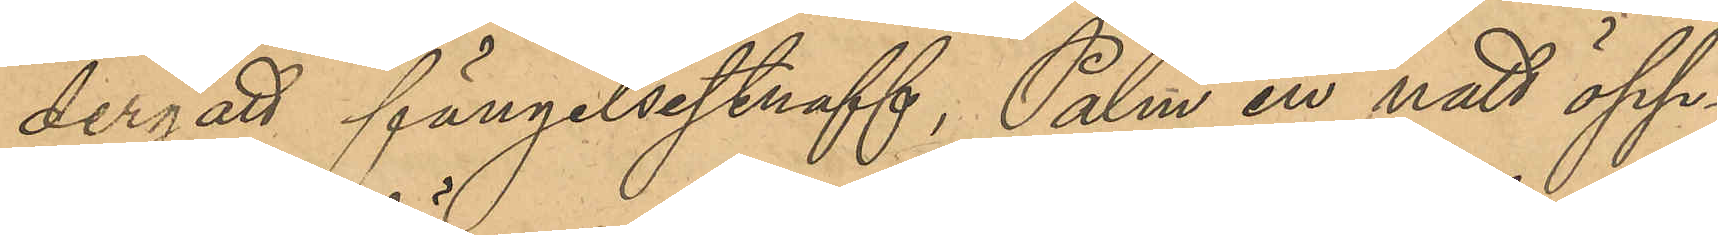dergått fängelsestraff, Palm en natt öpp¬
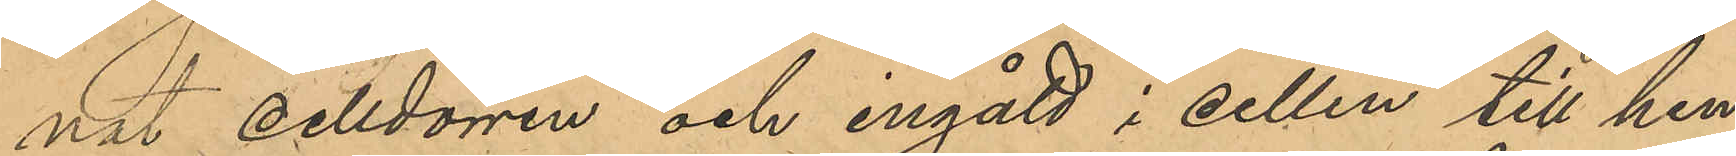nat celldörren och ingått i cellen till hen¬
